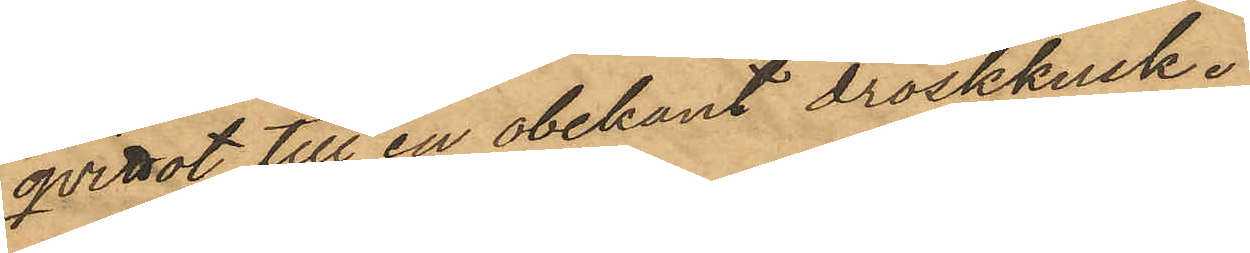qvittot till en obekant droskkusk.
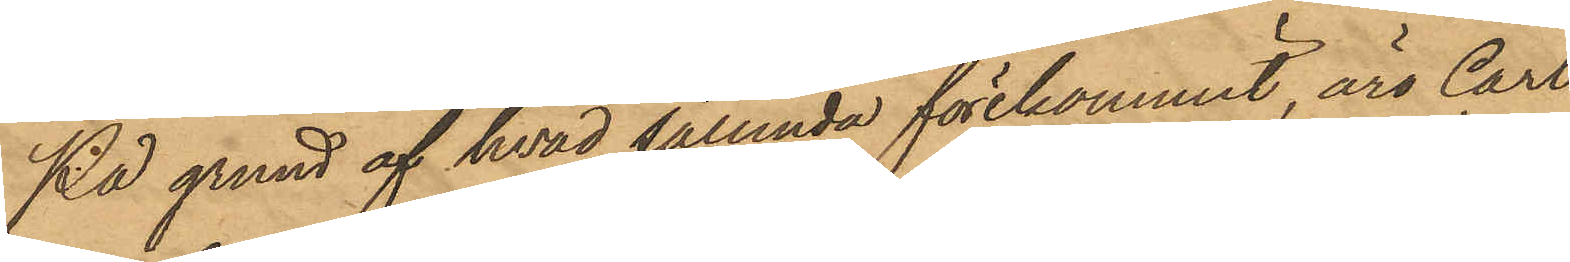På grund af hvad sålunda förekommit, äro Carl
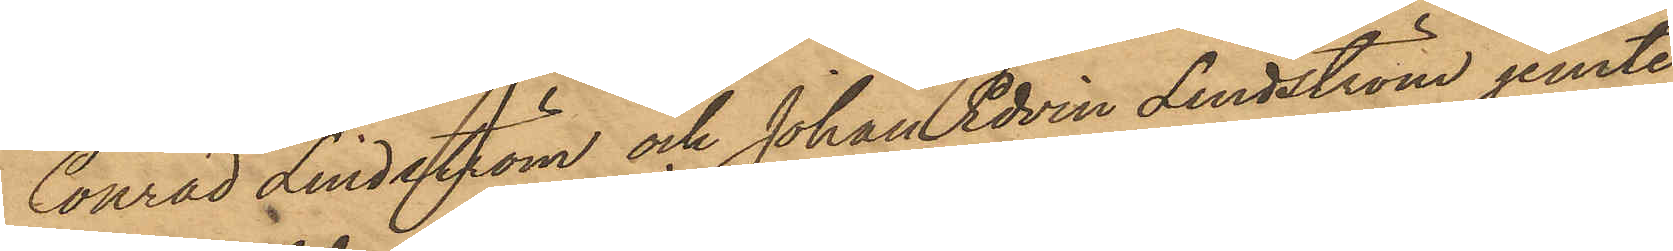Conrad Lindström och Johan Edvin Lindström jemte
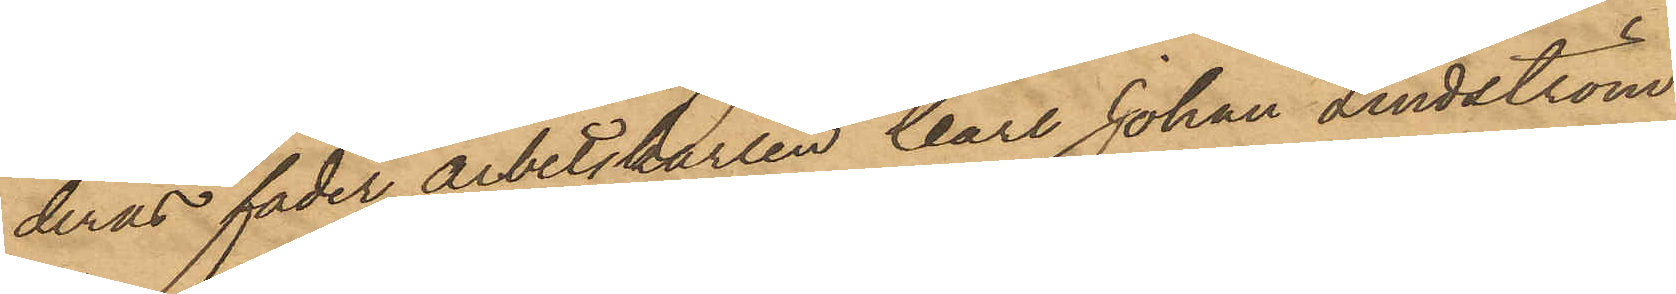deras fader arbetskarlen Carl Johan Lindström
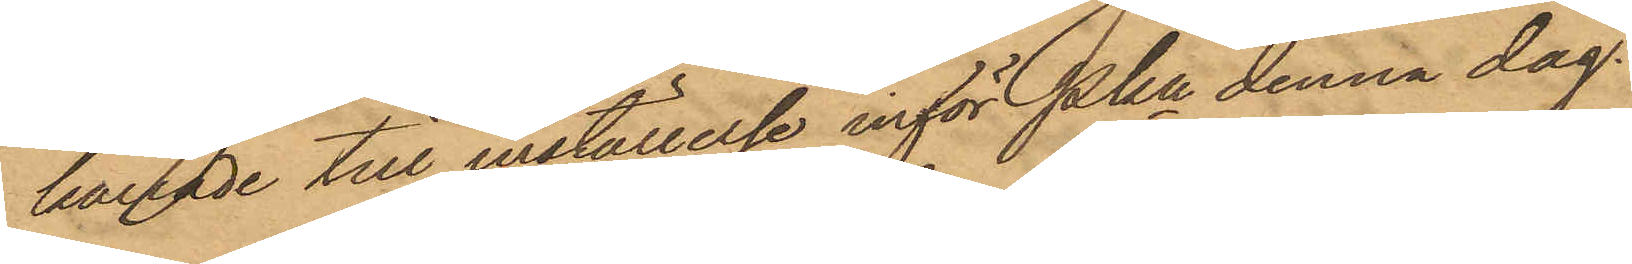kallade till  inställelse inför Pkn denna dag.
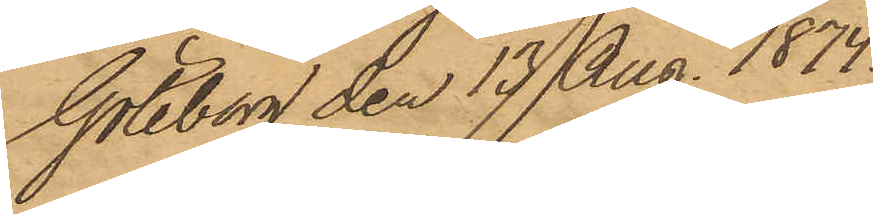Göteborg den 13 Aug. 1874.
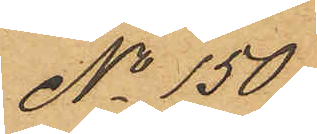No 150
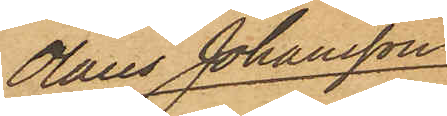Olaus Johansson
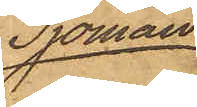Sjöman
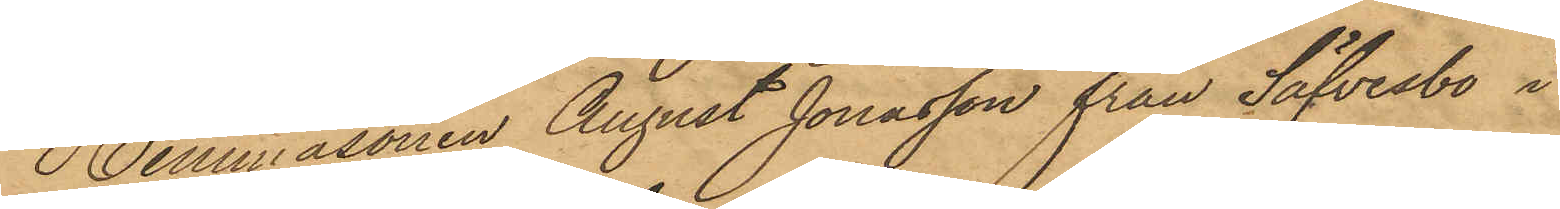Hemmasonen August Jonasson från Säfvesbo i
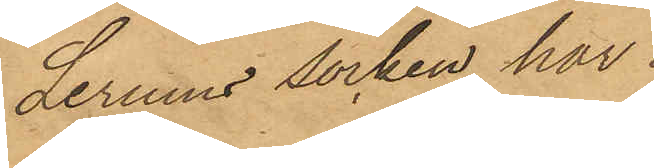Lerums socken har
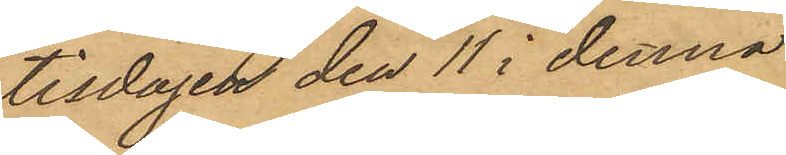tisdagen den 11 i denna
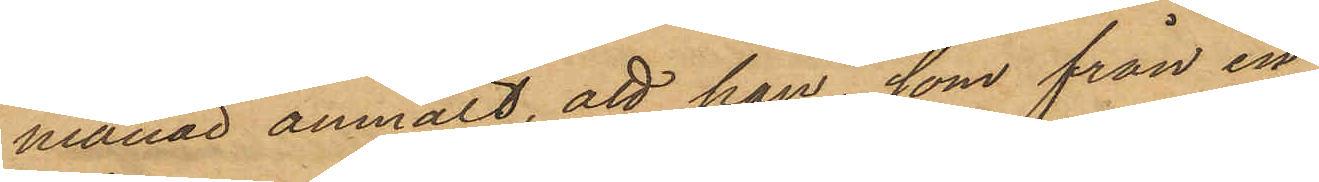månad anmält, att han, som från en
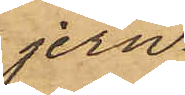jern¬
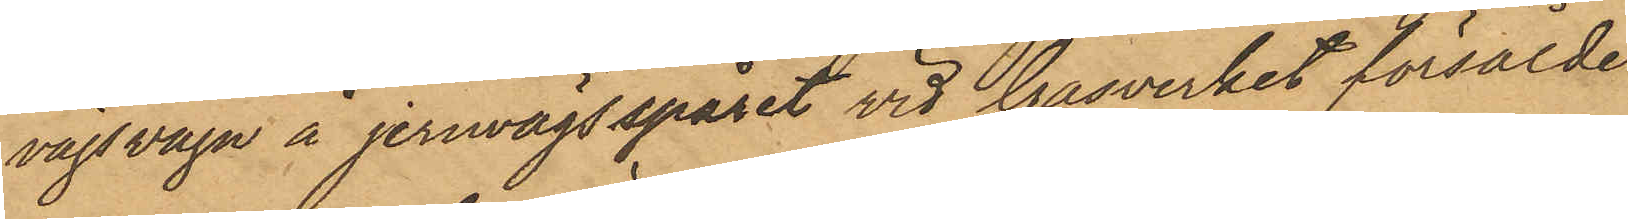vägsvagn å jernvägsspåret vid Gasverket försålde
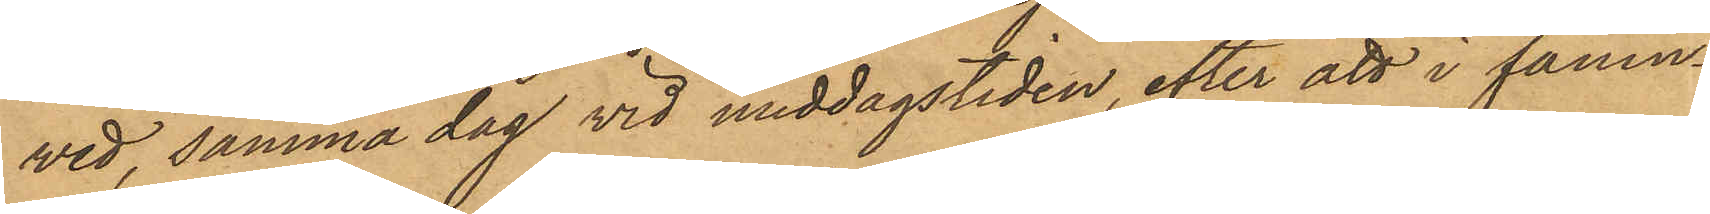wed, samma dag vid middagstiden, efter att i famn¬
